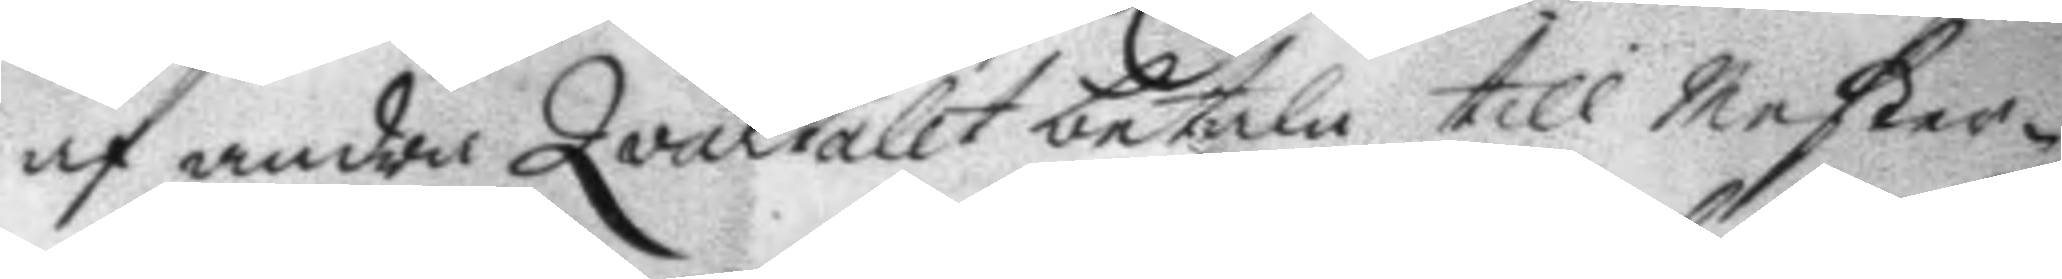af andra Qvartalet betala till Mester¬
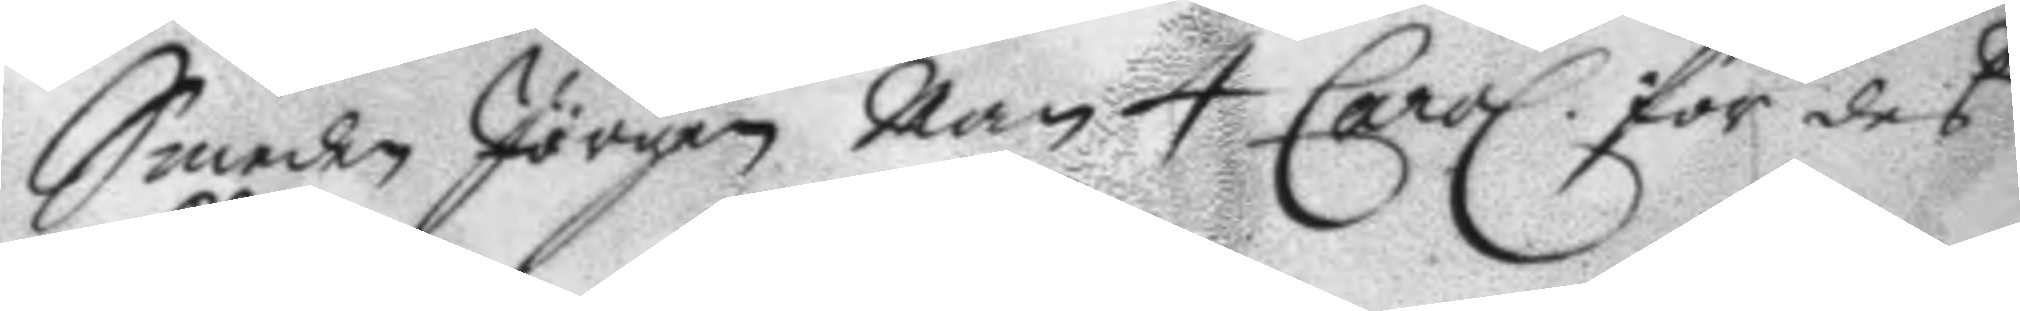Smeden Jörgen Man 4 Carol för des 
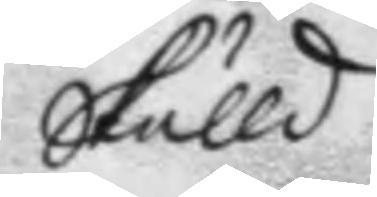skulld.
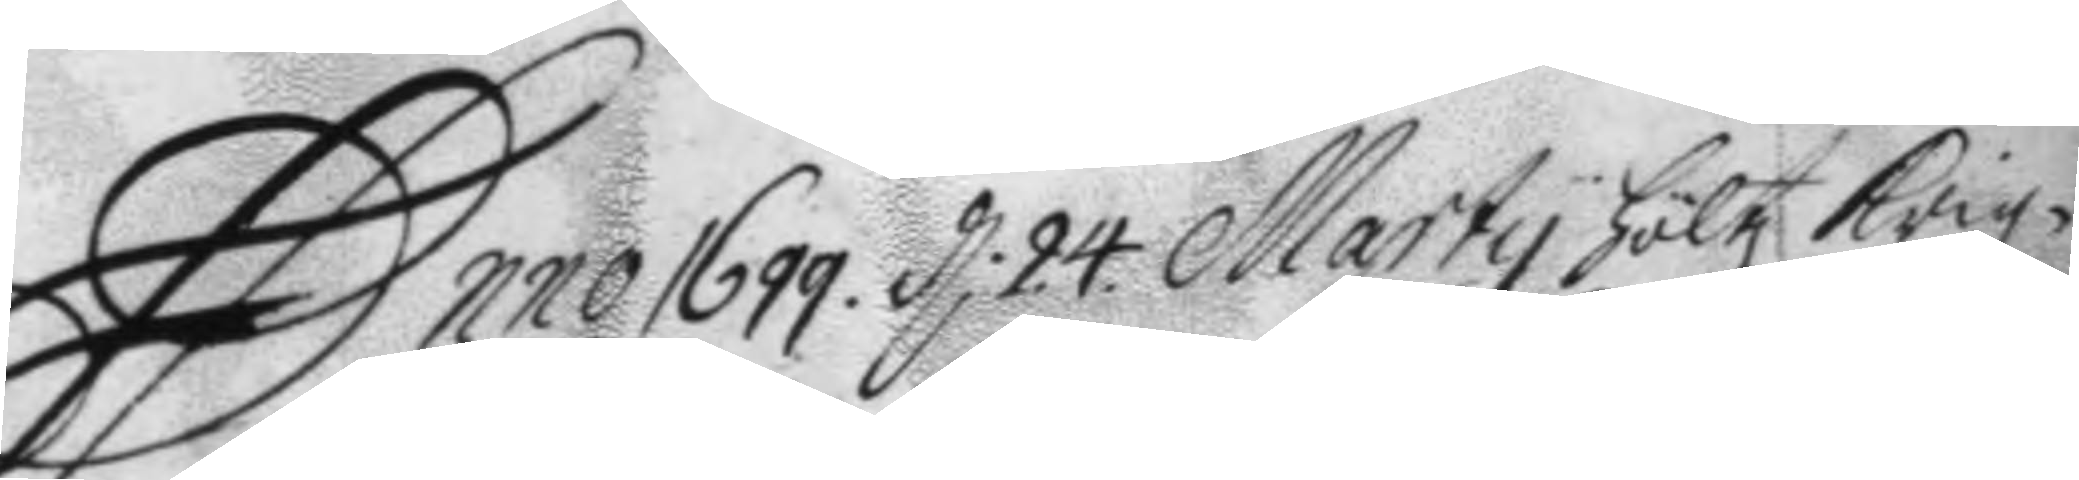Anno 1699. d 24 Marty höltz Krigz¬ 
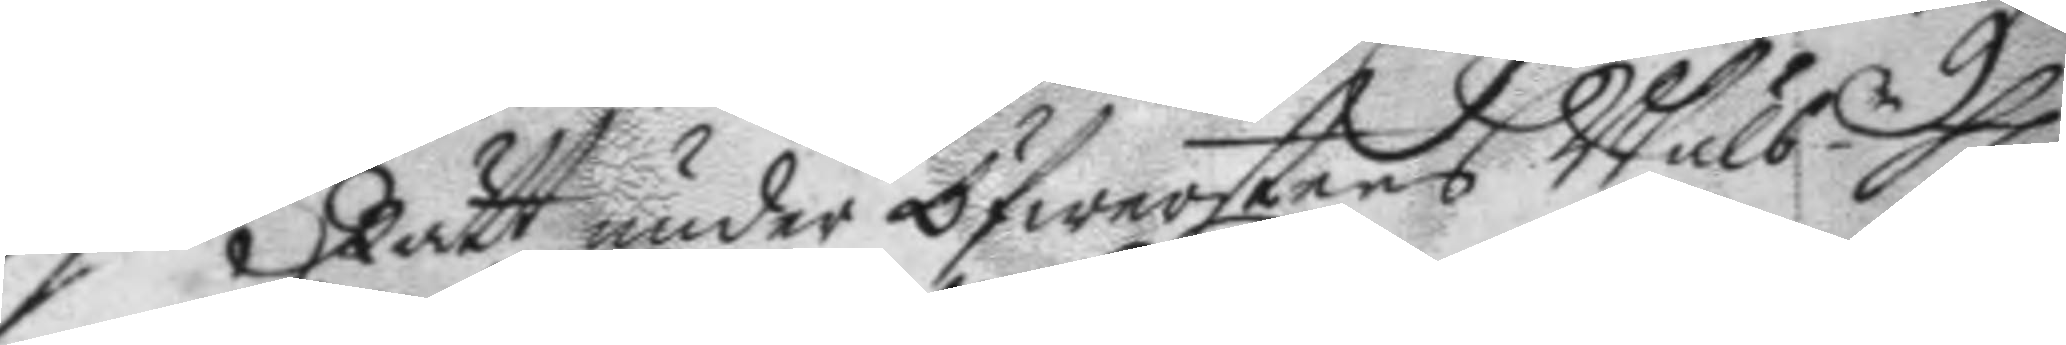Rätt under öfwerstens Wälb.e h: 
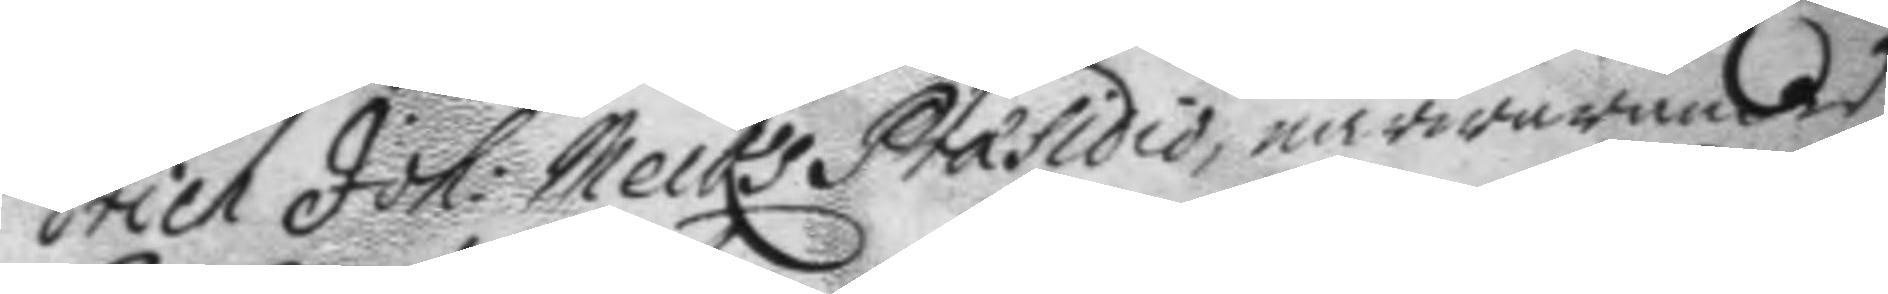Erich Joh: Melks Præsidio, närwarandes 
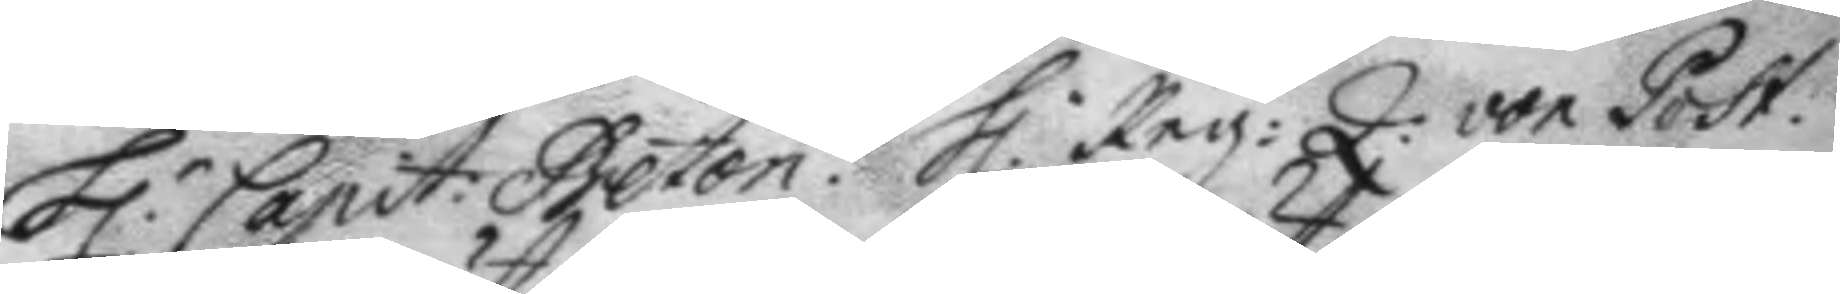H.r Capit: Beton. H. Reg: Q: von Post. 
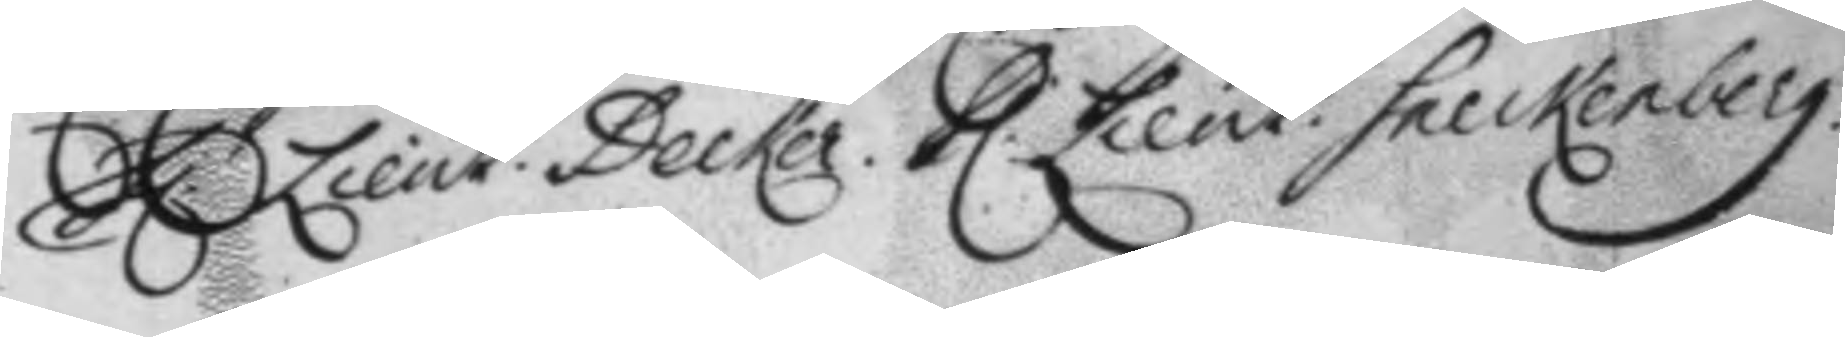h.r Lieut. Decker, h. Lieut. Sneckenberg 
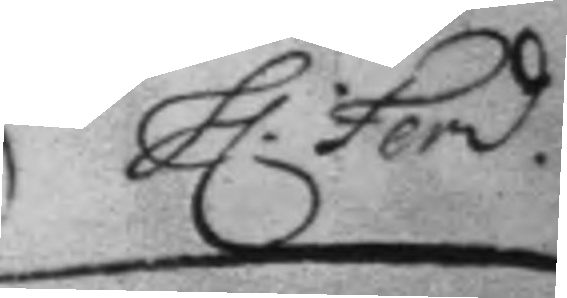h: Ferd 
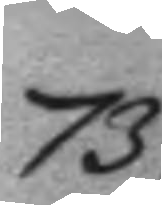73.
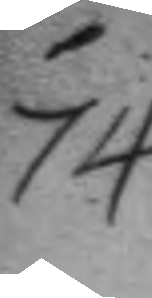74.
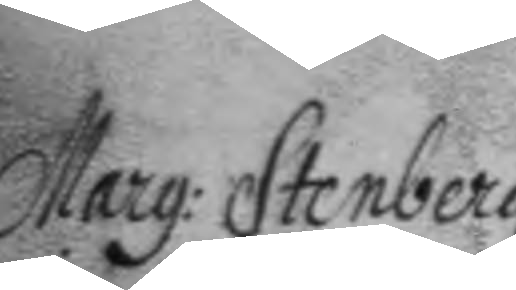Marg: Stenberg
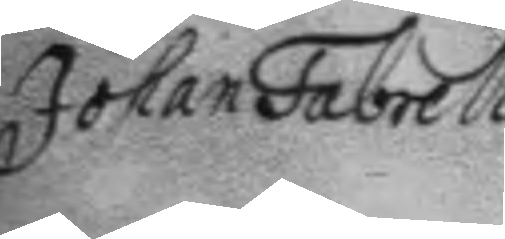Johan Fabrell
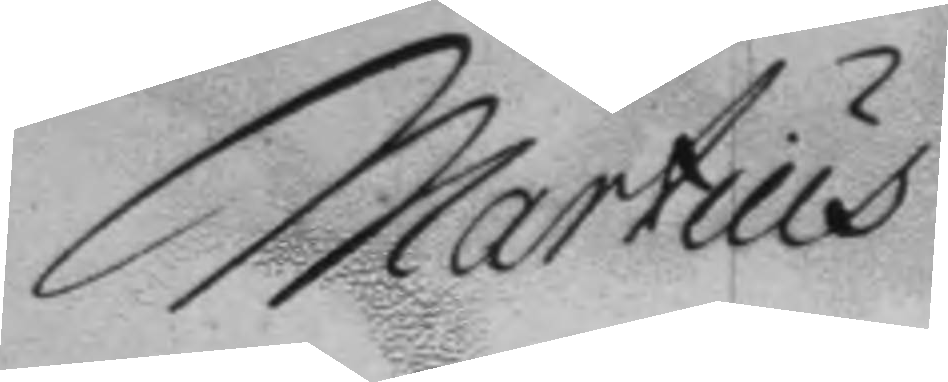Martius
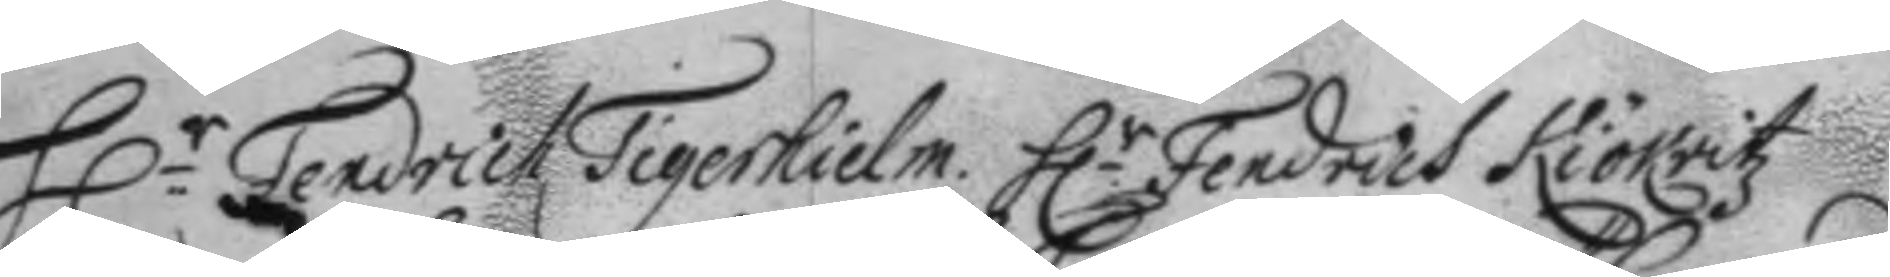h.r Fendrich Tigerhielm. h.r Fendrich Kiökritz
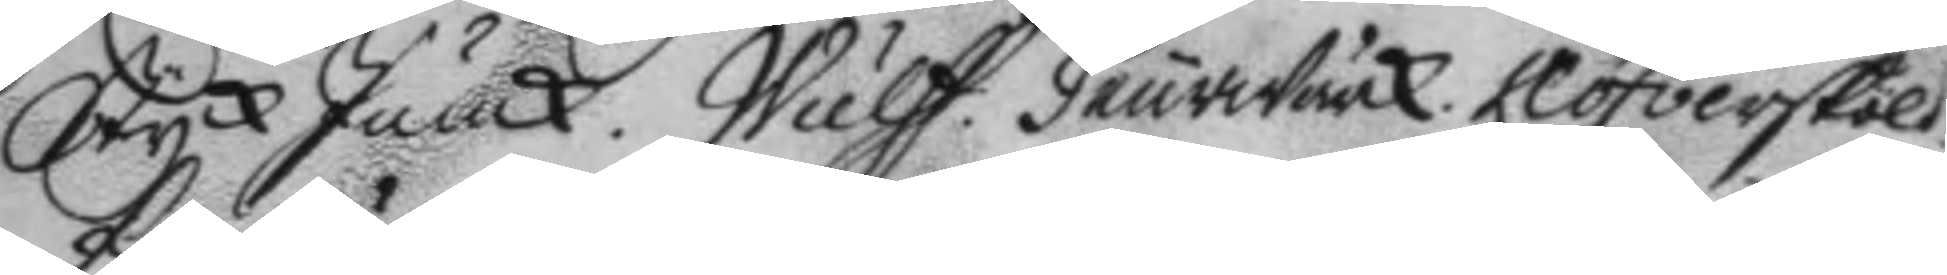StyckJunck. Wulff. Feurwärck. Klöfversköld.
